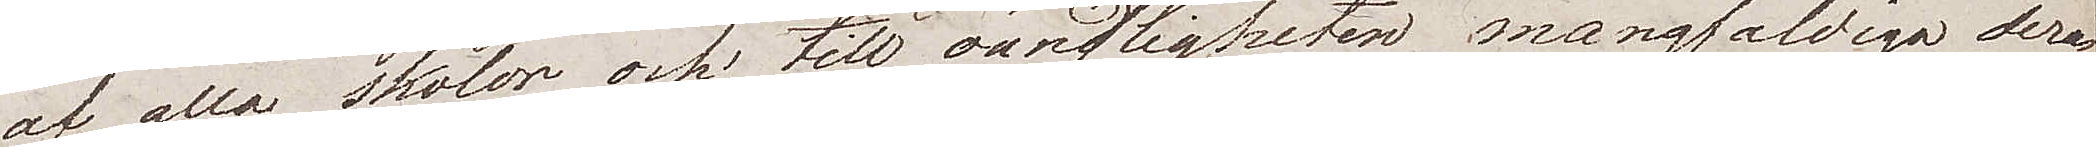af alla skolor, och till oändligheten mångfaldiga deras
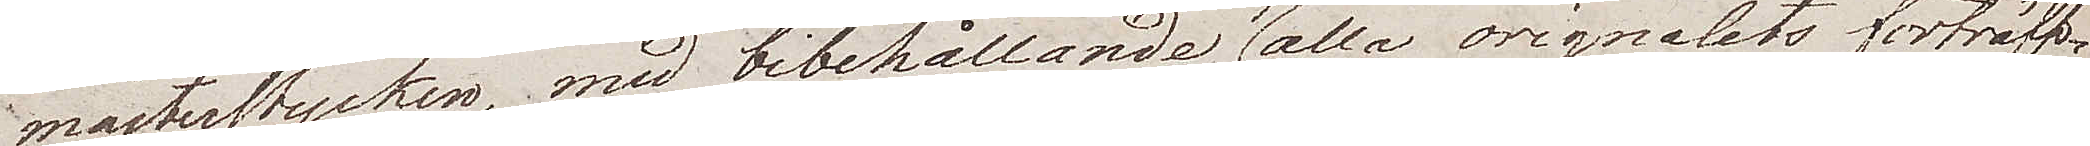mästerstycken, med bibehållande af alla originalets förträff¬
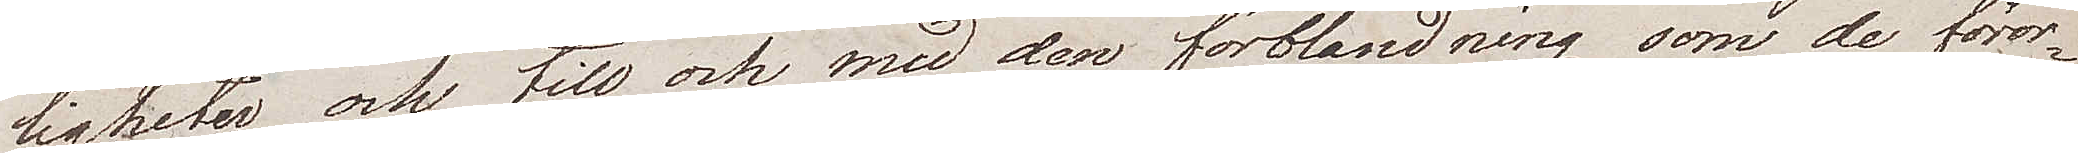ligheter och till och med den förbländning som de föror¬
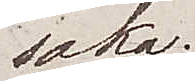saka.
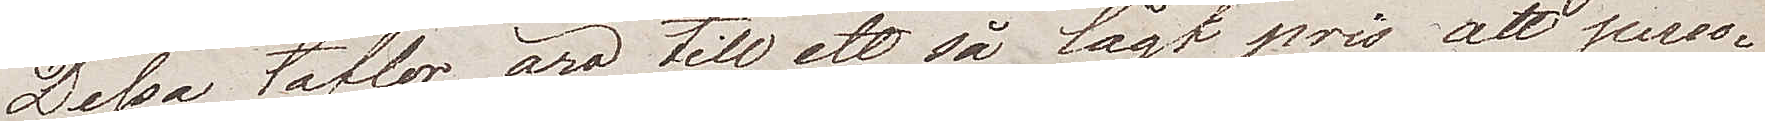Dessa taflor äro till ett så lågt pris att perso¬
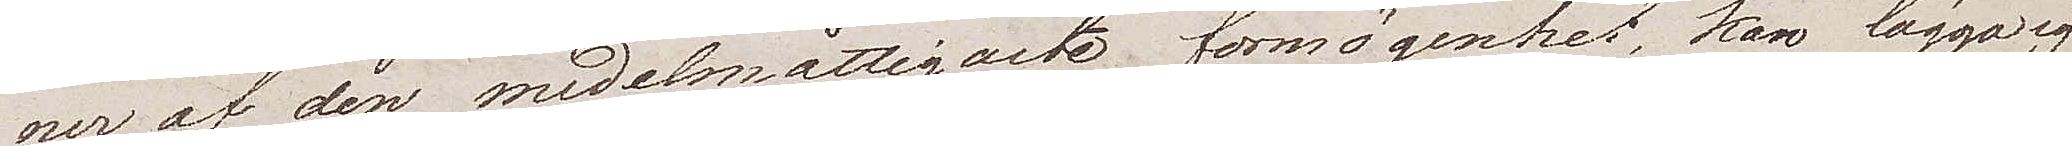ner af den medelmåttigaste förmögenhet kan lägga sig
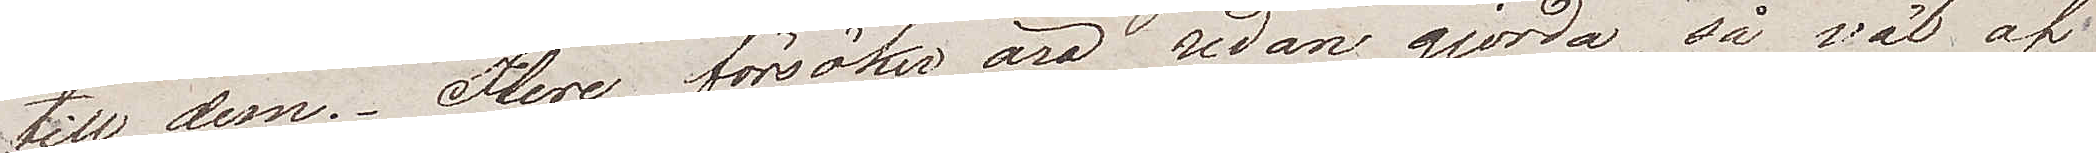till dem. Flere försök äro redan gjorda, så väl af
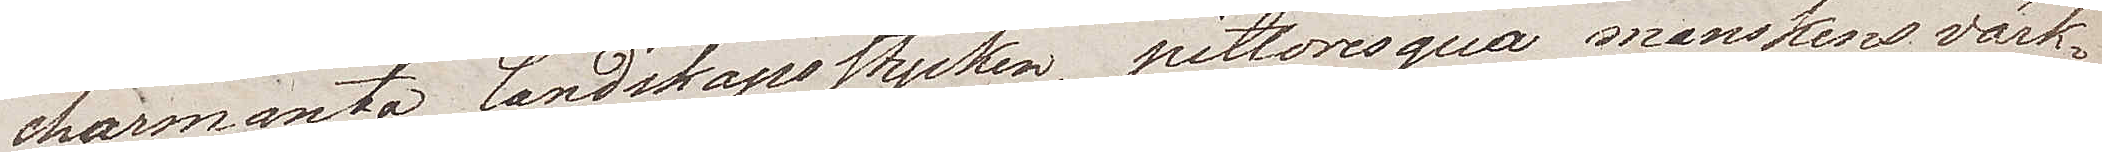charmanta landskapsstycken, pittoresqua månskensvärk¬
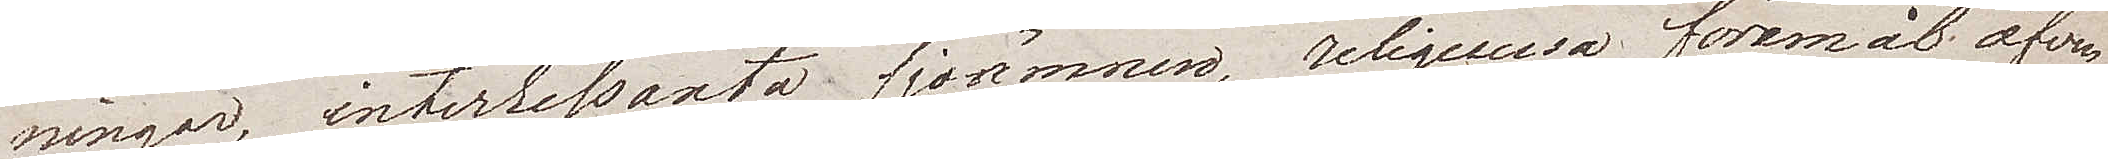ningar, interessanta sjöämnen, religeusa föremål äfven¬
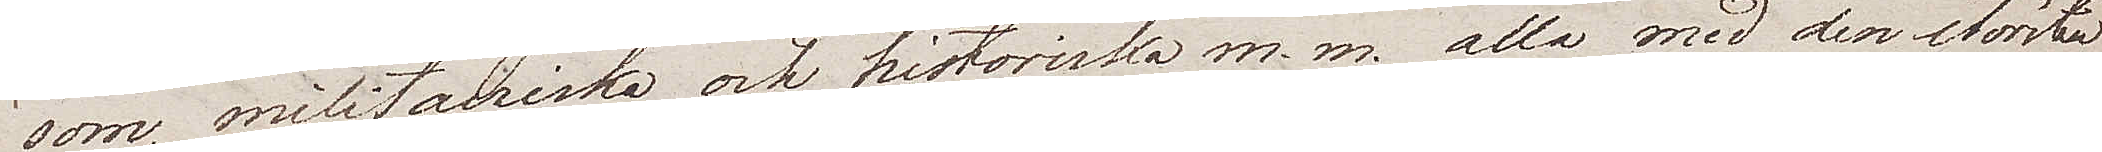som, militairiska och historiska m.m. alla med den största
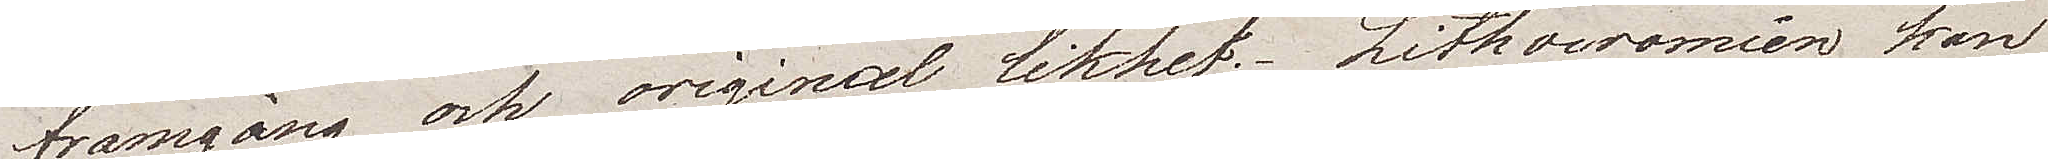framgång och original likhet. Lithocromien kan
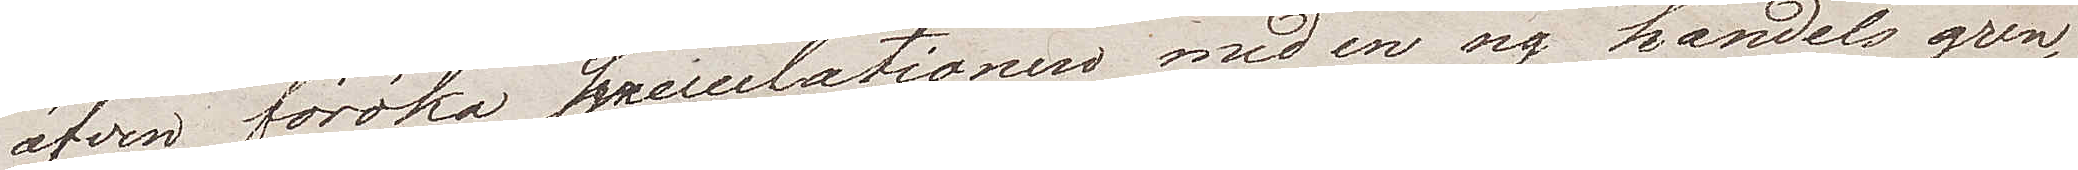äfven föröka speculationen med en ny handelsgren,
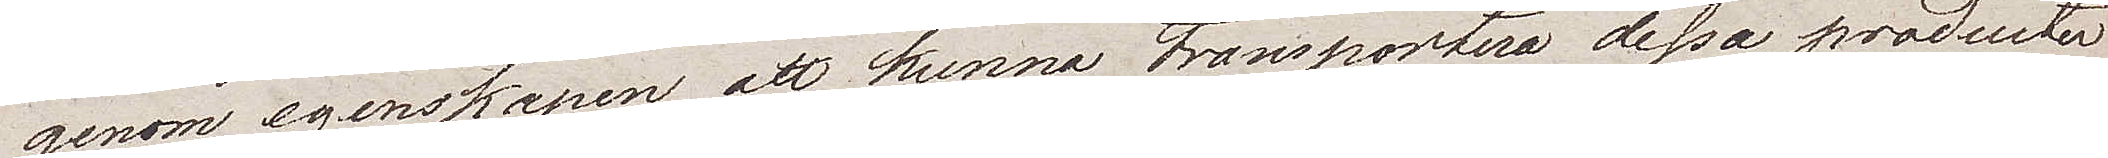genom egenskapen, att kunna transportera dessa produkter
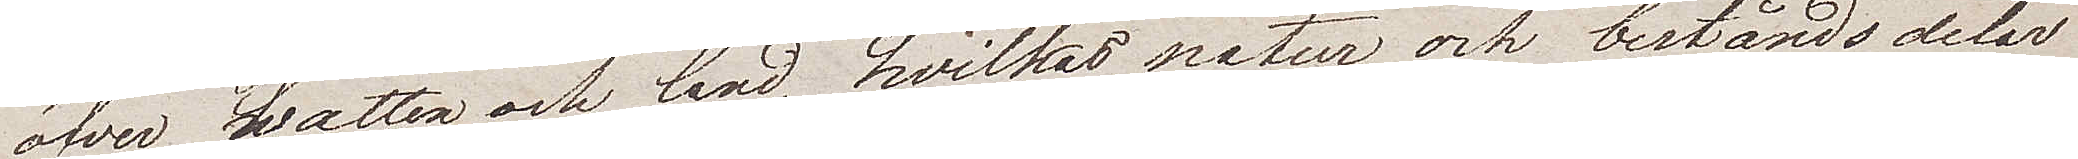öfver watten och land, hvilkas natur och beståndsdelar
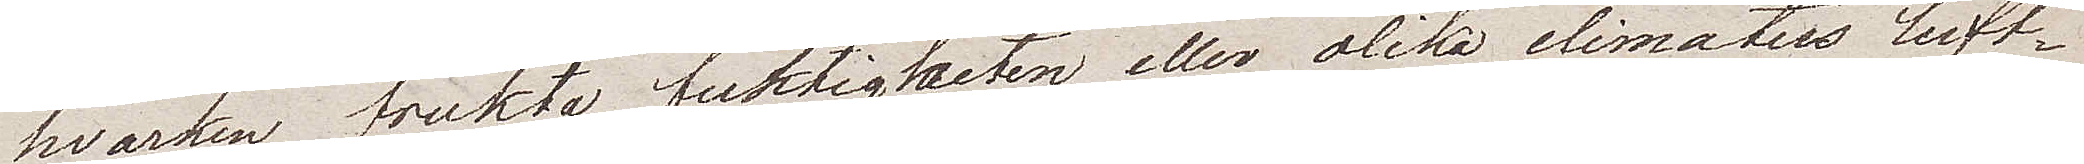hvarken frukta fuktigheten eller olika climaters luft¬
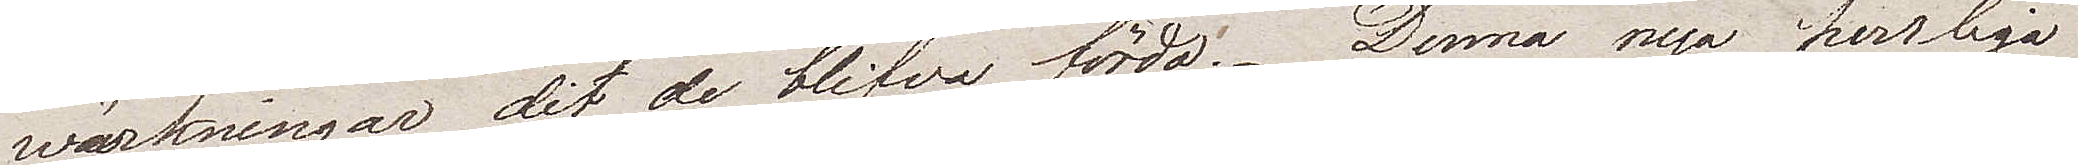wärkningar dit de blifva förda. Denna nya herrliga
